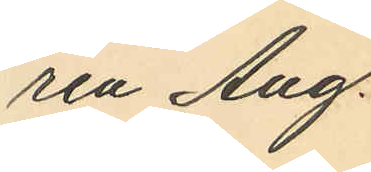ren Aug.
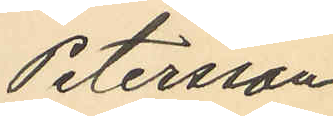Petersson,
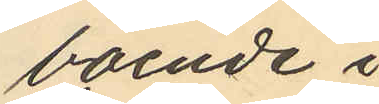boende i
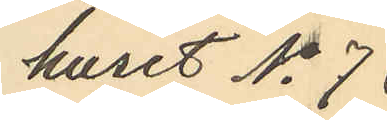huset No 73
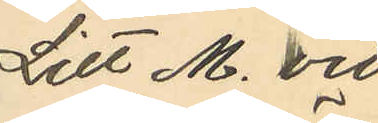Litt M. vid
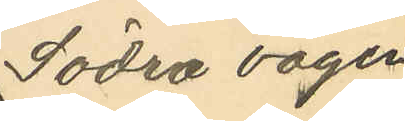Södra vägen
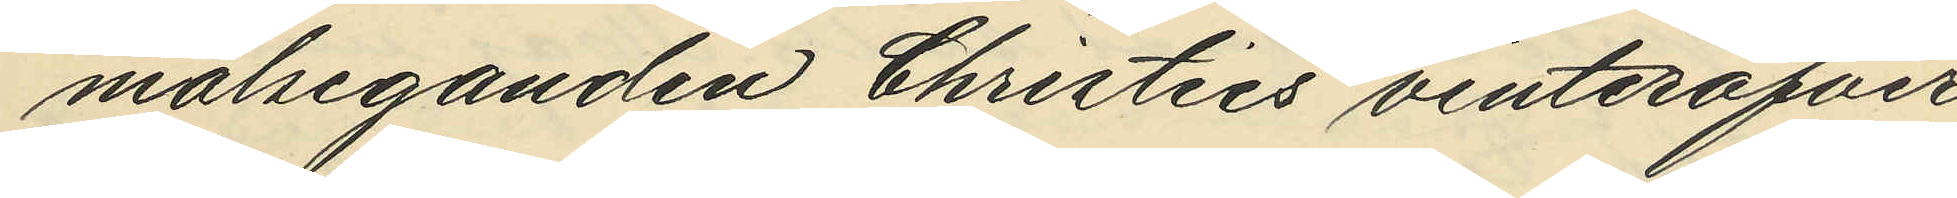målseganden Christies vinteröfver¬
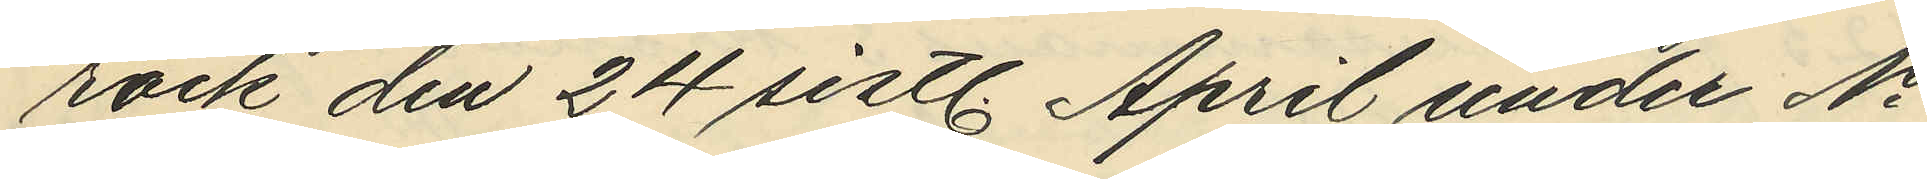rock den 24 sistl. April under No
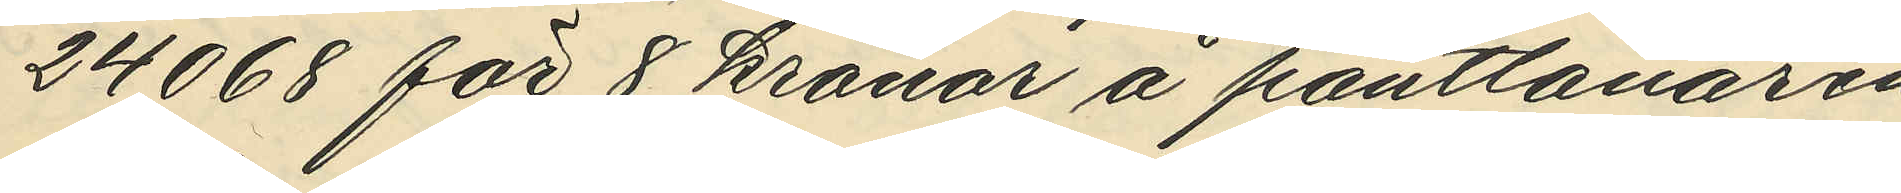24068 för 8 kronor å pantlånaren
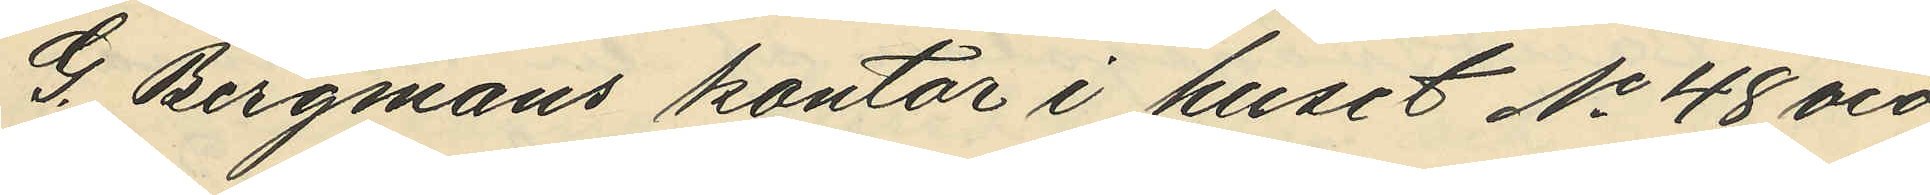G. Bergmans kontor i huset No 48 vid
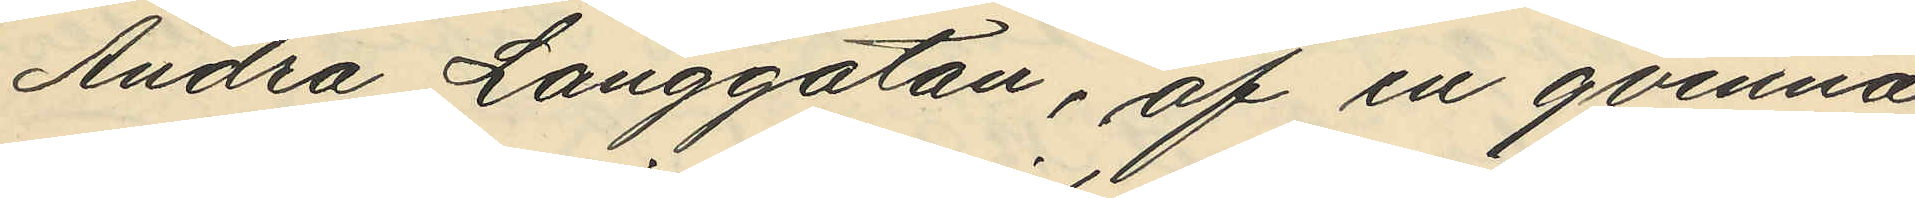Andra Långgatan, af en qvinna,
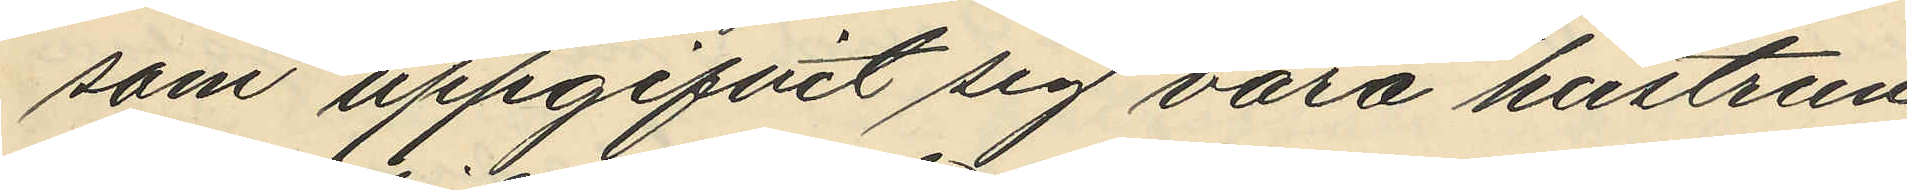som uppgifvit sig vara hustrun
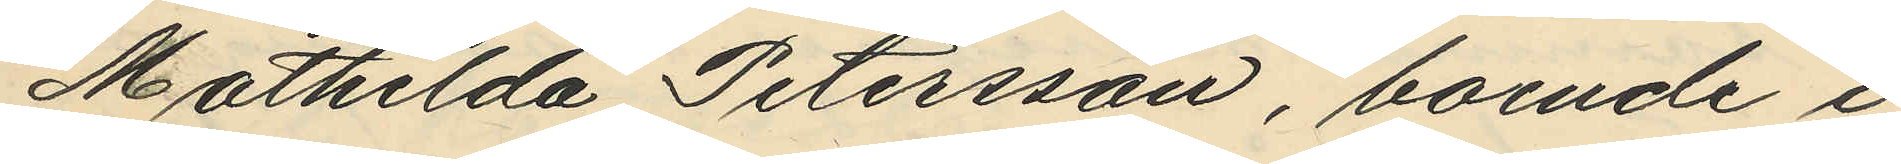Mathilda Petersson, boende i
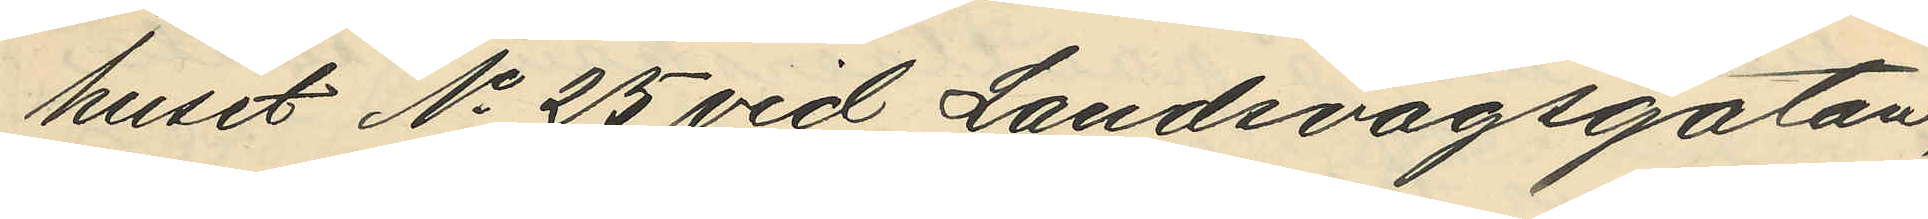huset No 25 vid Landsvägsgatan;
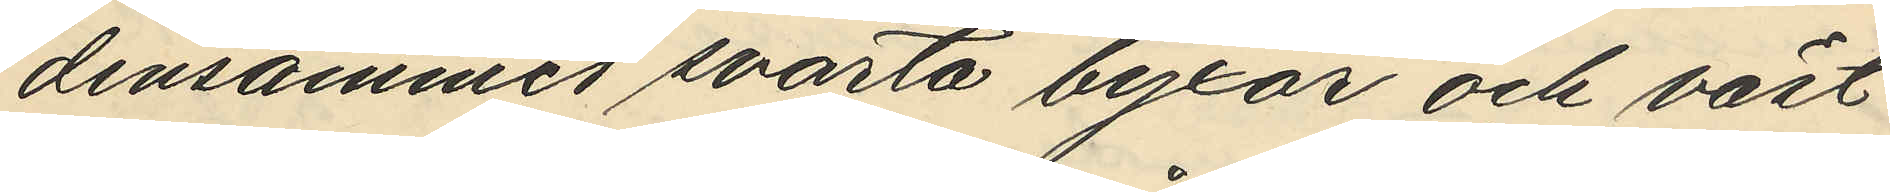densammes svarta byxor och väst
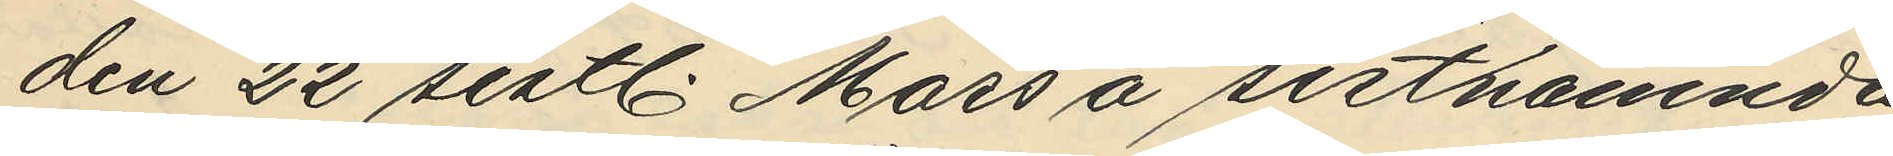den 22 sistl. Mars å sistnämnda
